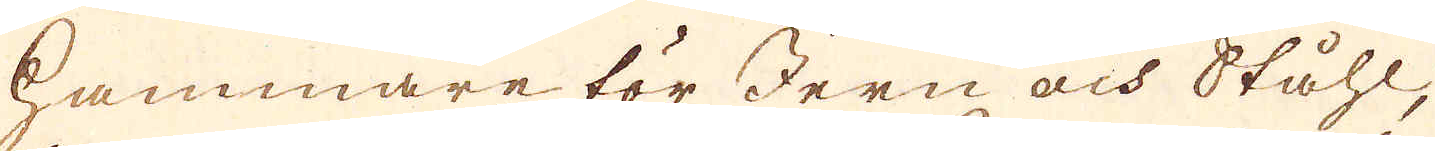hammare för Jern och Ståhl,
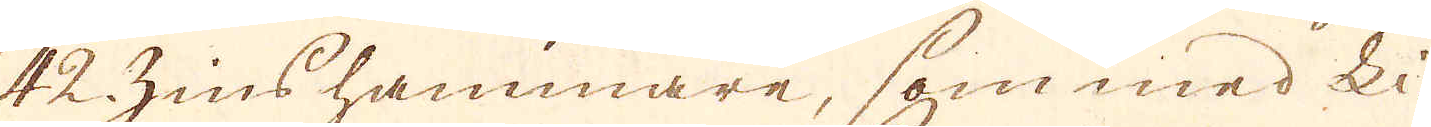42 Zinshammare, som med Li-
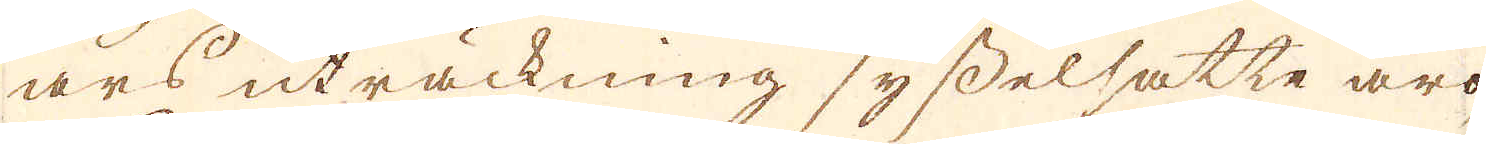ars uträckning sysselsatte äro,
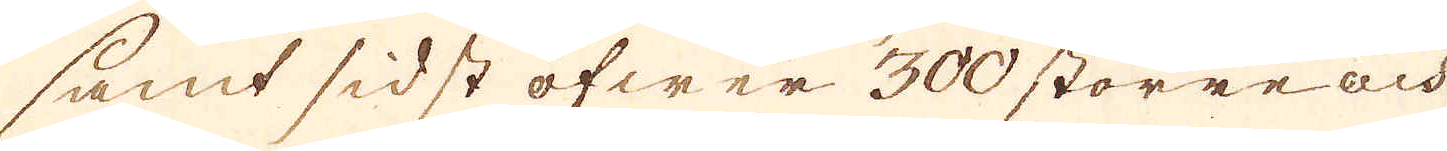samt sidst öfwer 300. större och
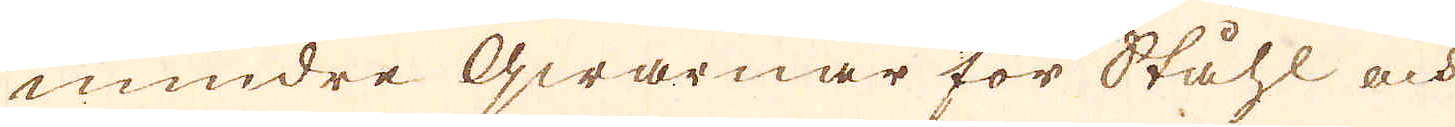mindre qwarnar för Ståhl och
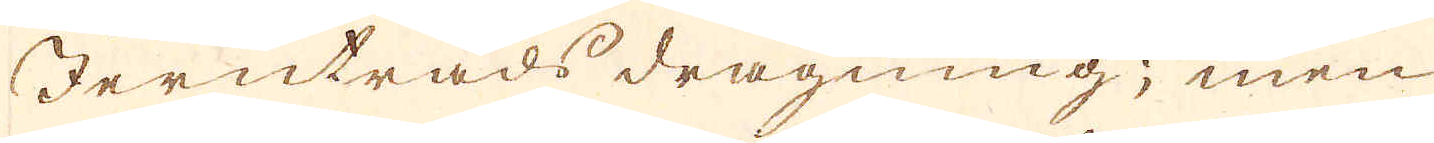Jerntråds dragning; men
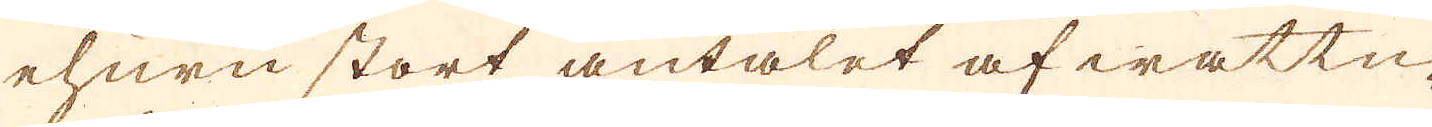ehuru stort antalet af wattu-
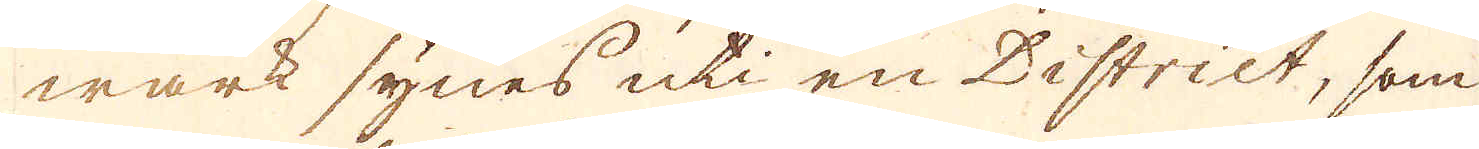wärk synes uti en District, som
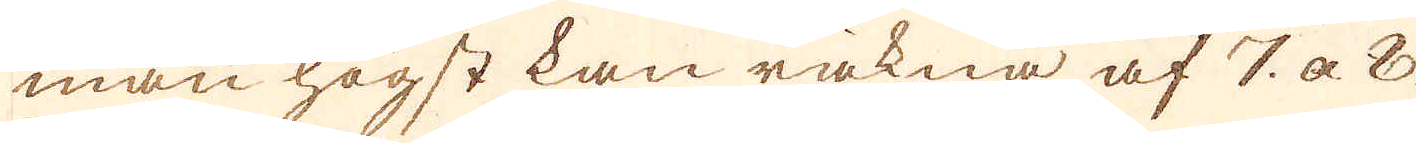man högst kan räkna af 7 a 8.
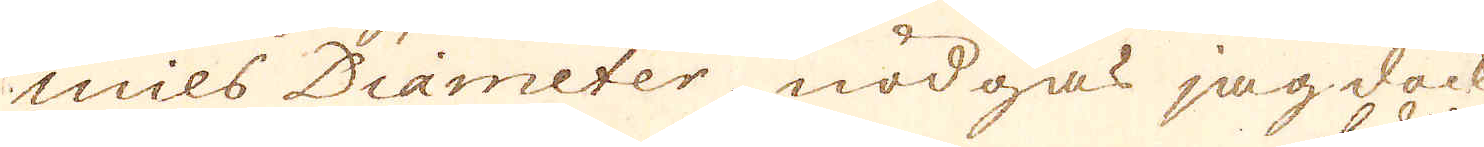mils Diameter nödgas jag dock
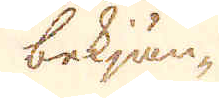bekjän-
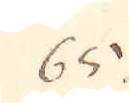65.
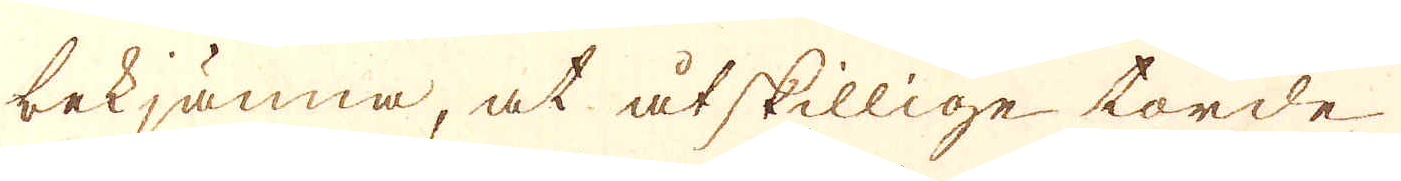bekjänna, at åtskillige torde
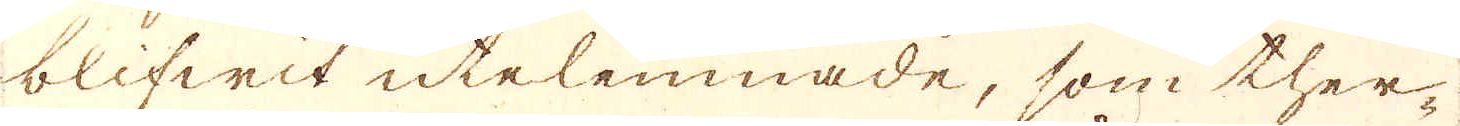blifwit utelemmade, som ther-
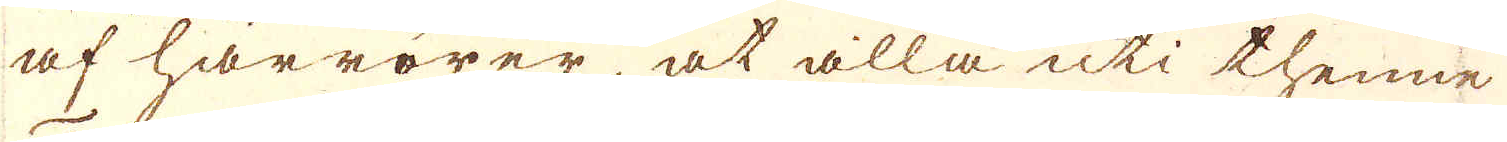af härrörer, at alla uti thenne
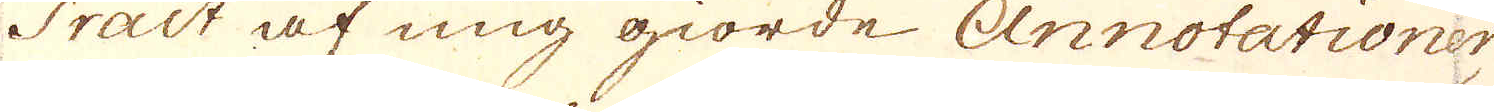Tract af mig giorde Annotationer
